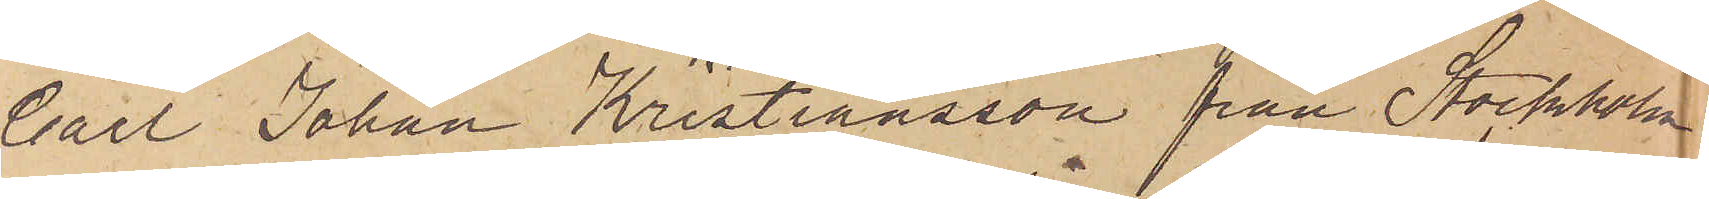Carl Johan Kristiansson från Stockholm
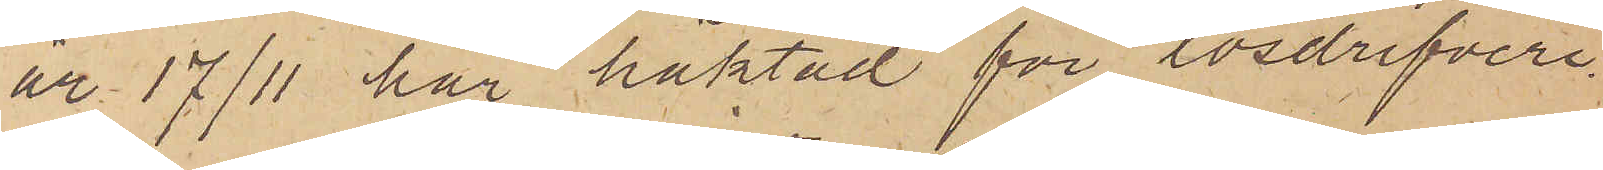är 17/11 här häktad för lösdrifveri
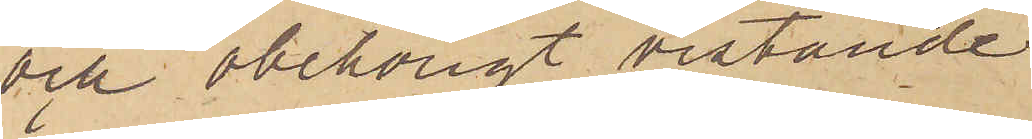och obehörigt vistande
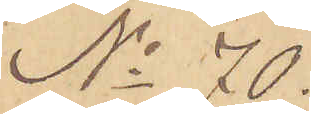No 70.
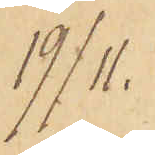19/11.
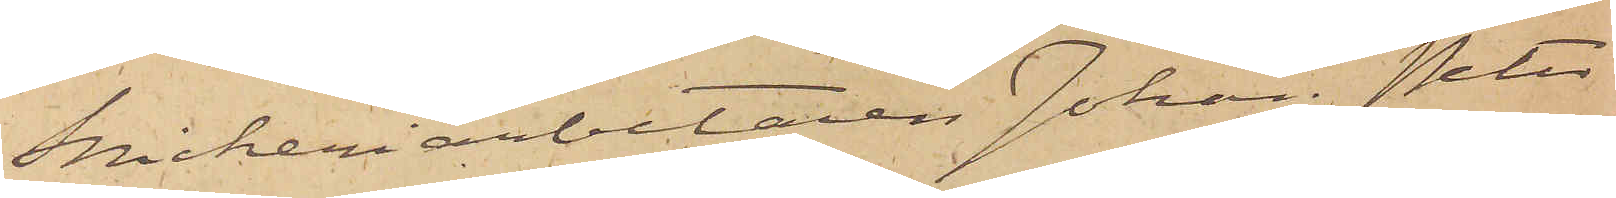Snickeriarbetaren Johan Peter
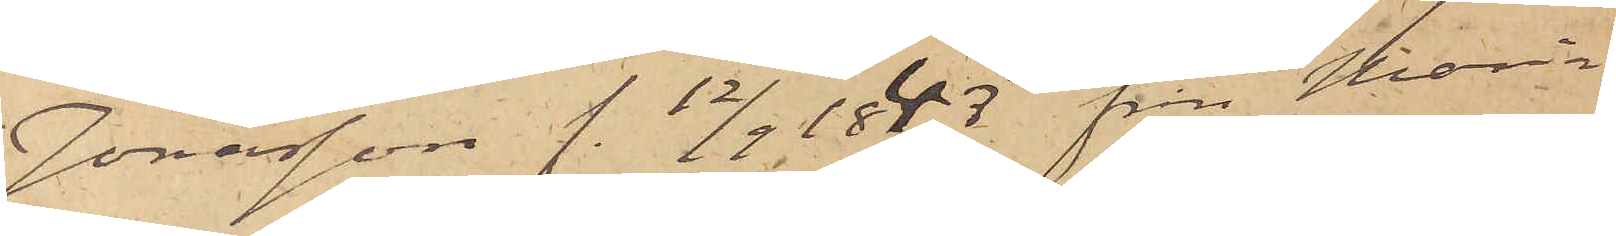Jonasson f. 12/9 1843, från Maria
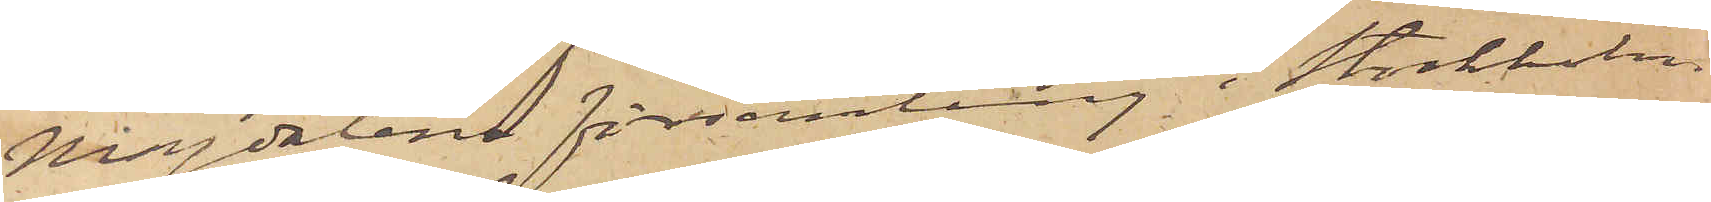Magdalena församling i Stockholm
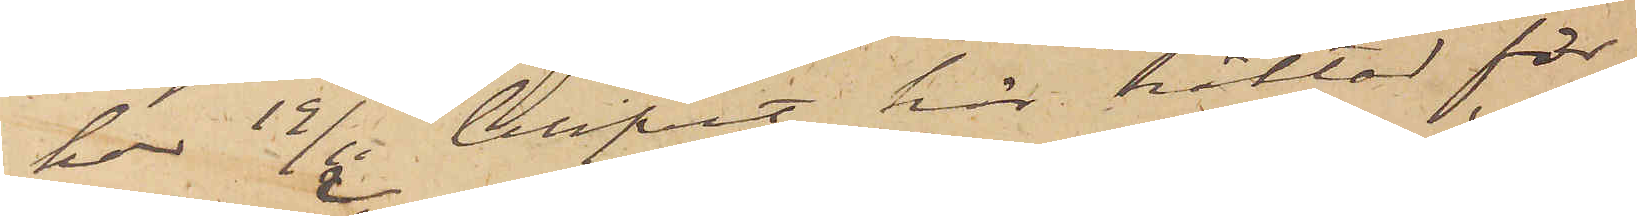har 19/11 blifvit här häktad för
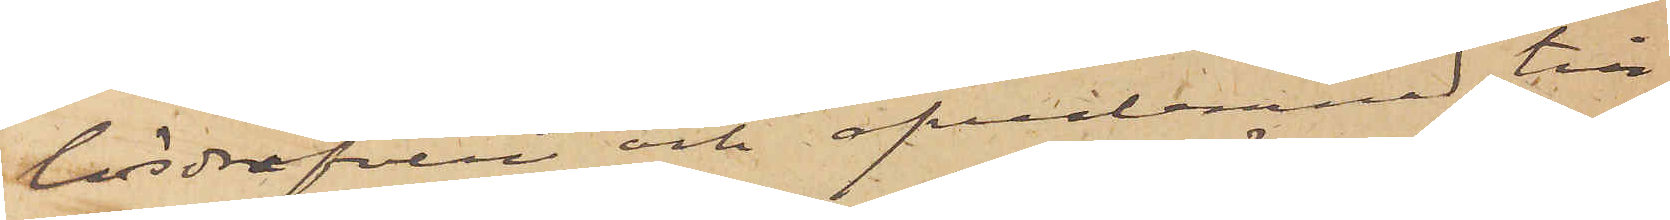lösdrifveri och öfverlemnad till¬
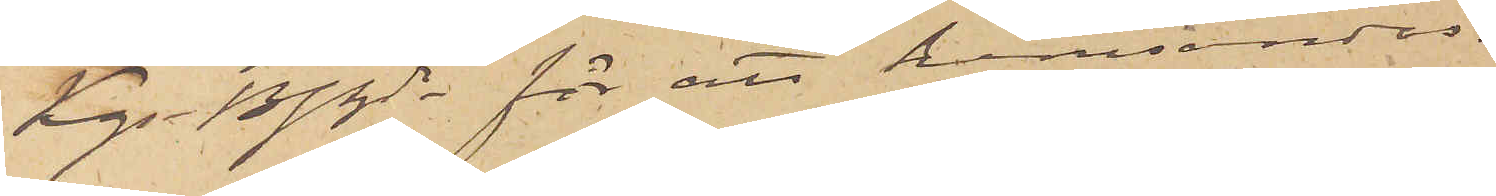Kgs Bfhde för att hemsändas.
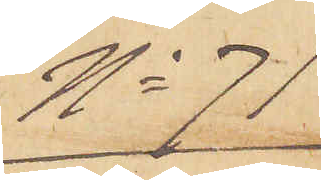No 71
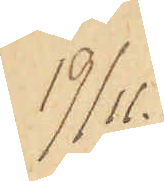19/11.
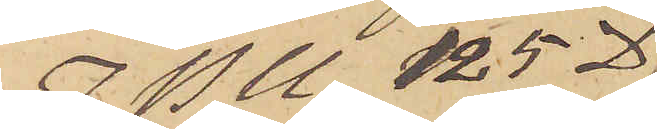I P U 125 D
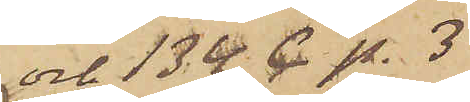och 134 C p. 3
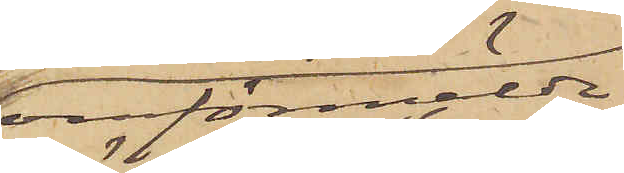omförmälde
